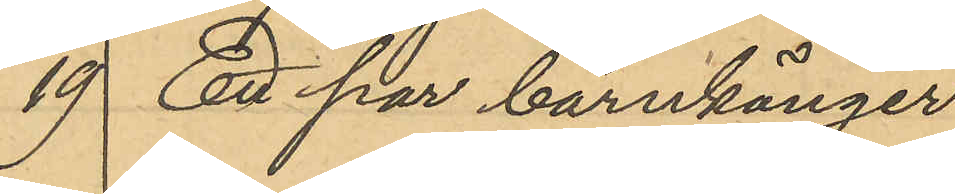19 Ett par barnkänger
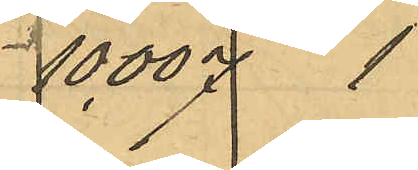10,007 1
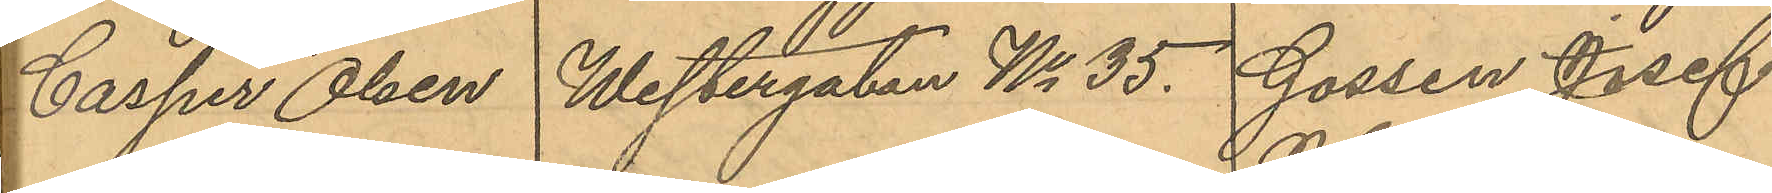Casper Olsen Westergatan No 35 Gossen Josef
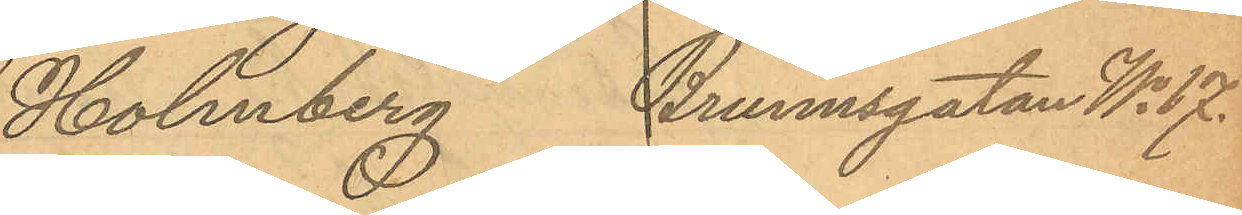Holmberg, Brunnsgatan No 17.
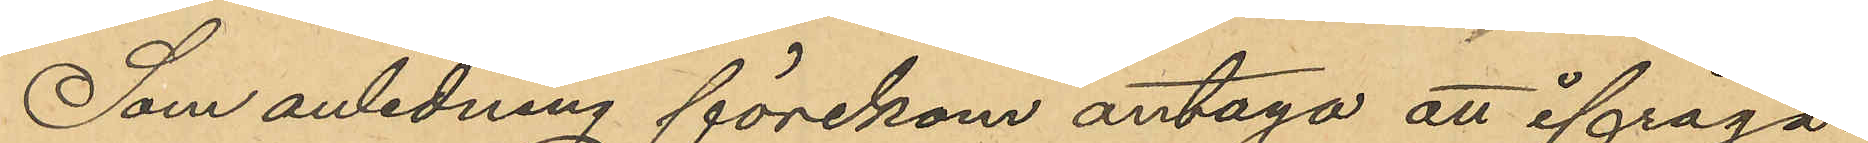Som anledning förekom antaga att ifråga¬
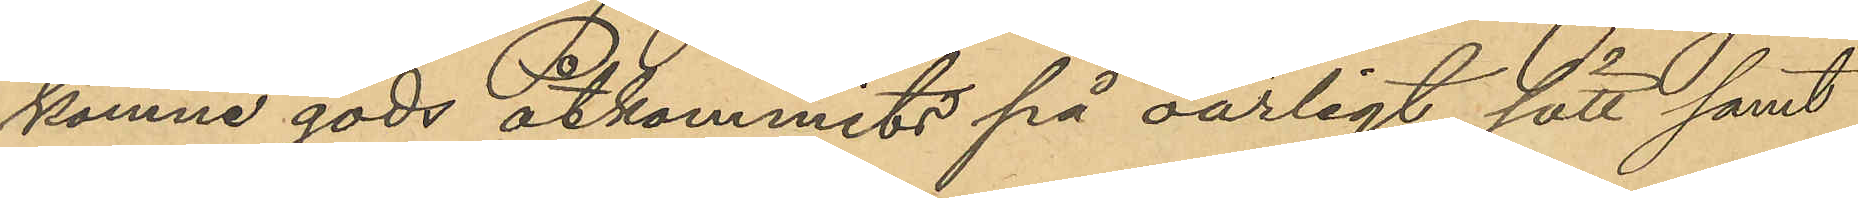komne gods åtkommits på oärligt sätt samt
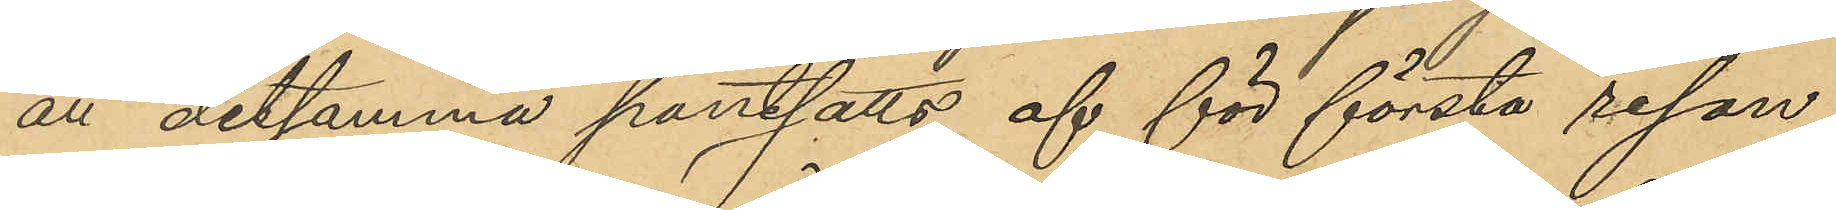att detsamma pantsatts af för första resan
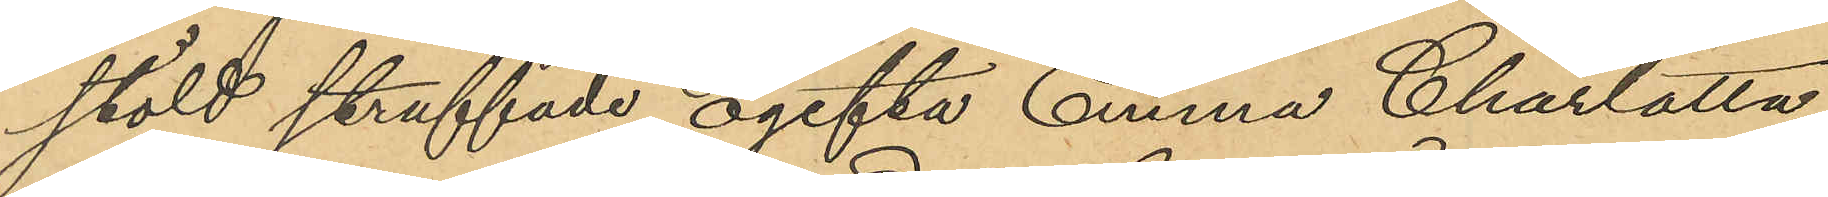stöld straffade ogifta Emma Charlotta
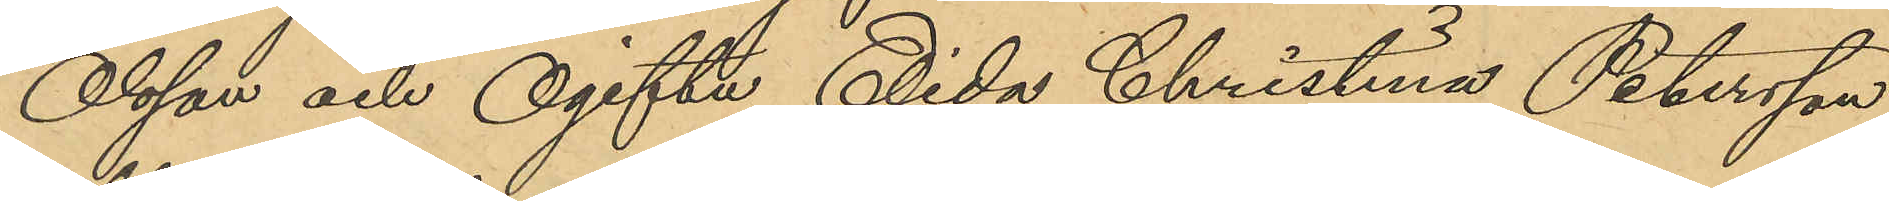Olsson och Ogifta Elida Christina Petersson
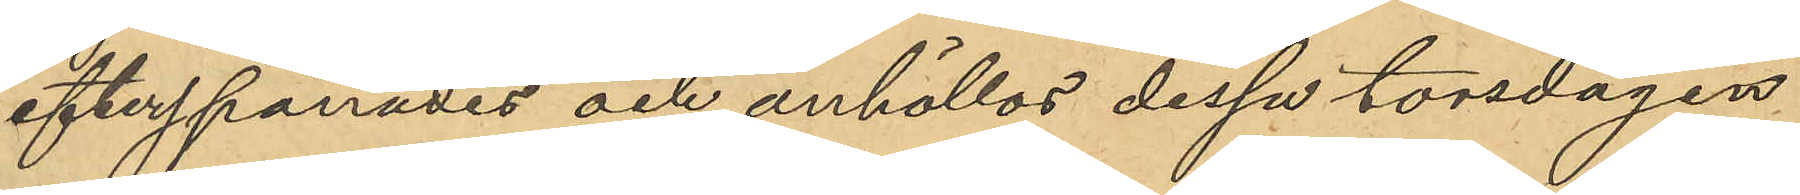efterspanades och anhöllos dessa torsdagen
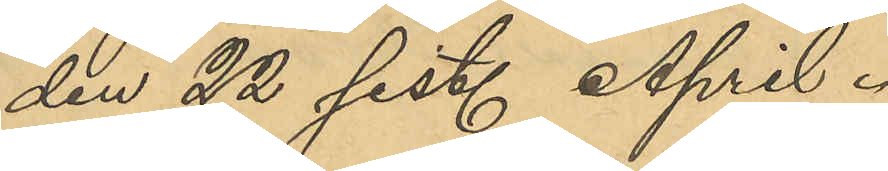den 22 sist. April.
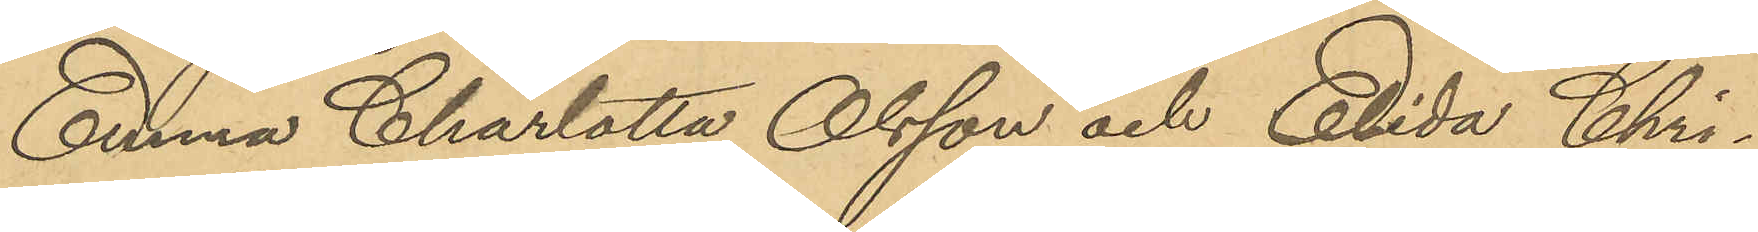Emma Charlotta Olsson och Elida Chri¬
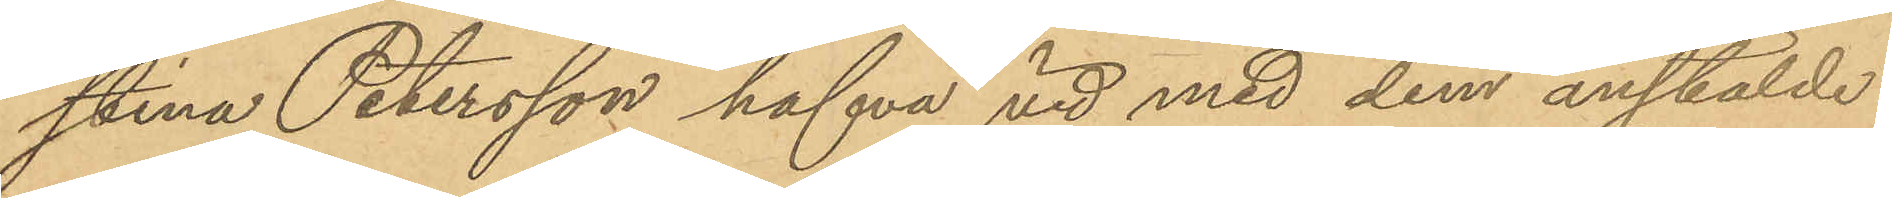stina Petersson hafva vid med dem anstälde
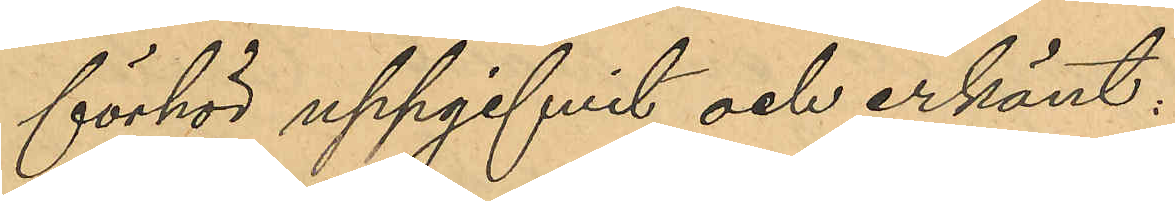förhör uppgifvit och erkänt:
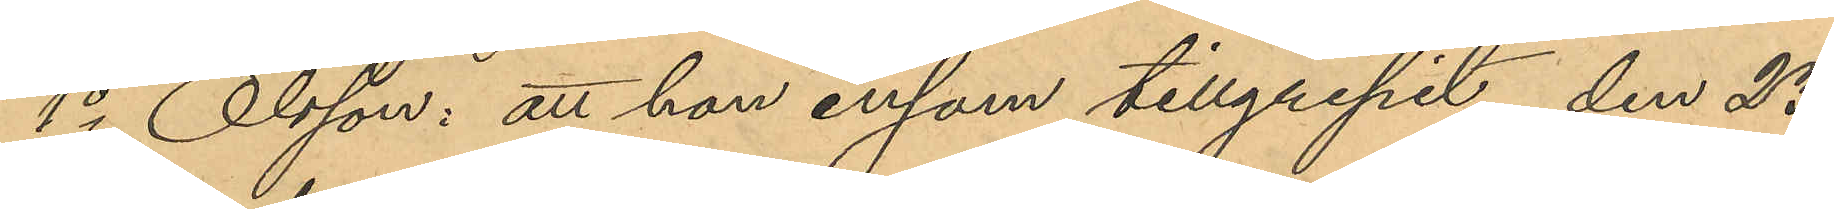1o Olsson: att hon ensam tillgripit, den 23
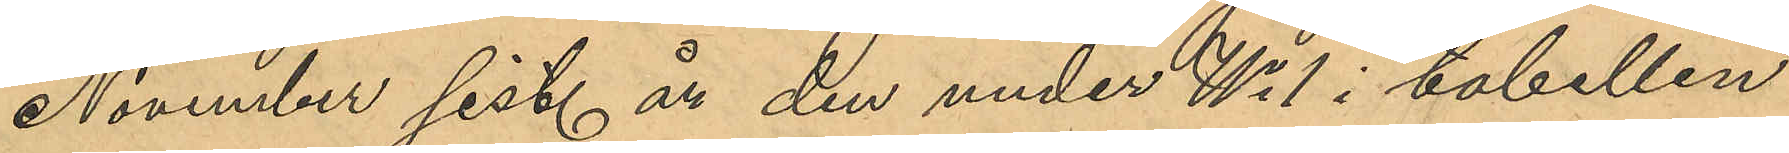November sist. år den under No 1 i tabellen
